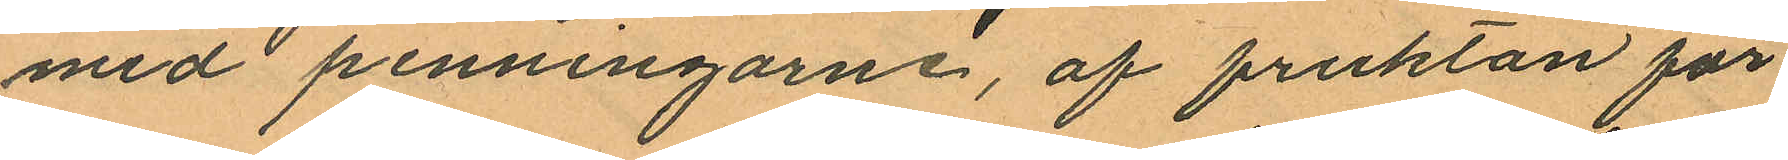med penningarne, af fruktan för
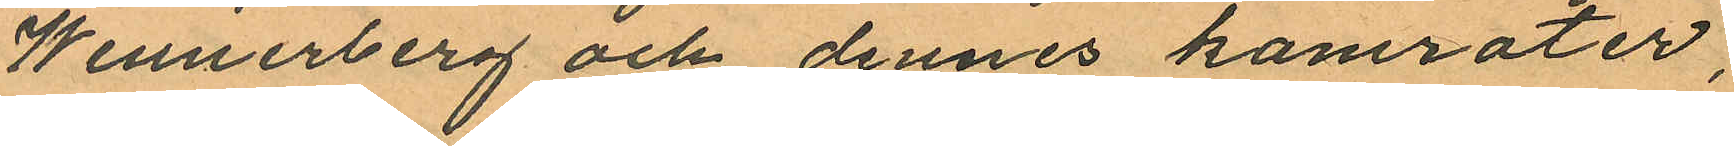Wennerberg och dennes kamrater,
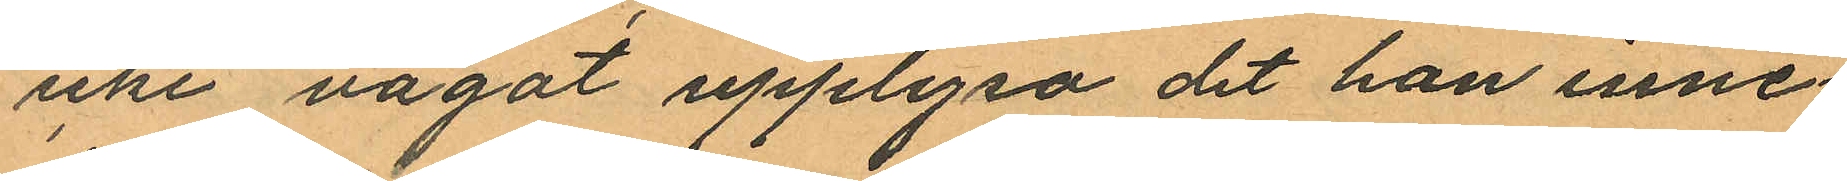icke något upplysa det han inne¬
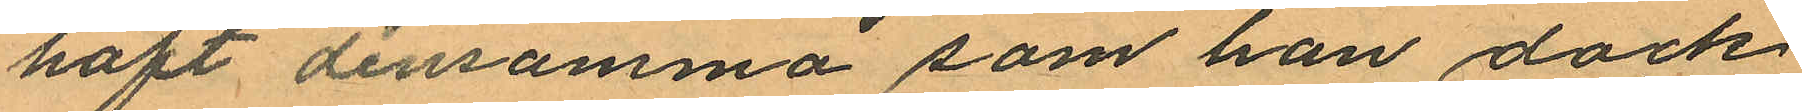haft densamma som han dock
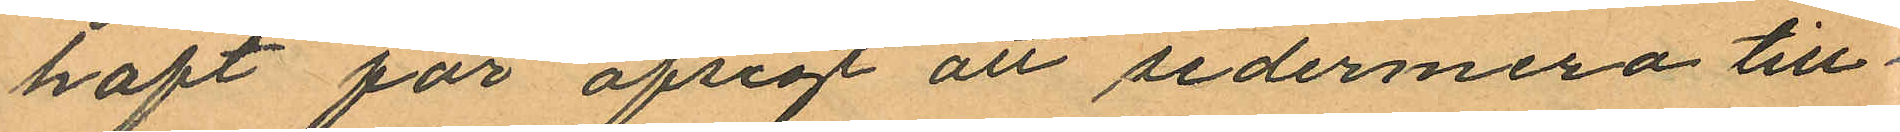haft för afsigt att sedermera till¬
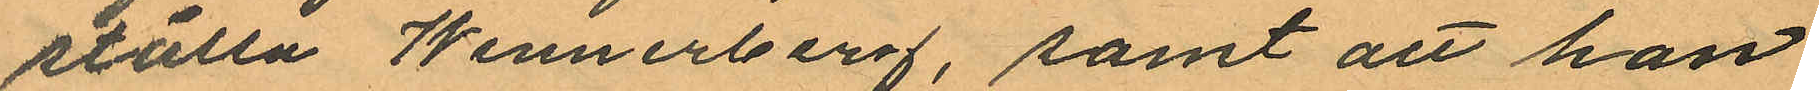ställa Wennerberg, samt att han
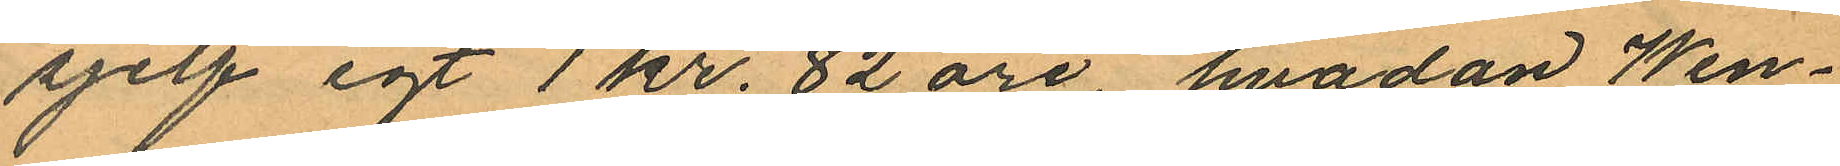sjelf egt 1 kr. 82 öre, hvadan Wen¬
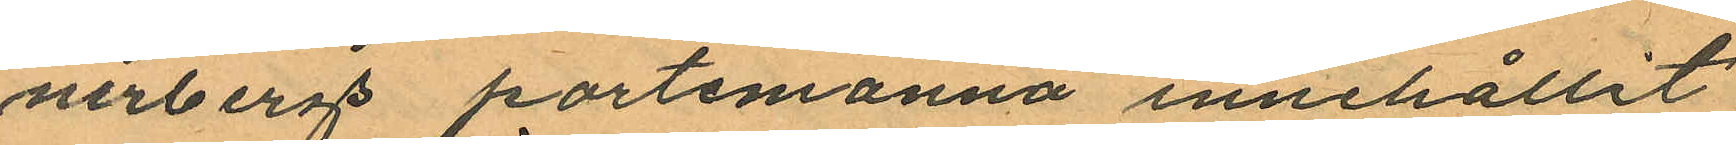nerbergs portemonnä innehållit
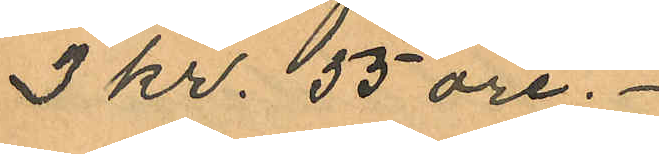3 kr. 55 öre.
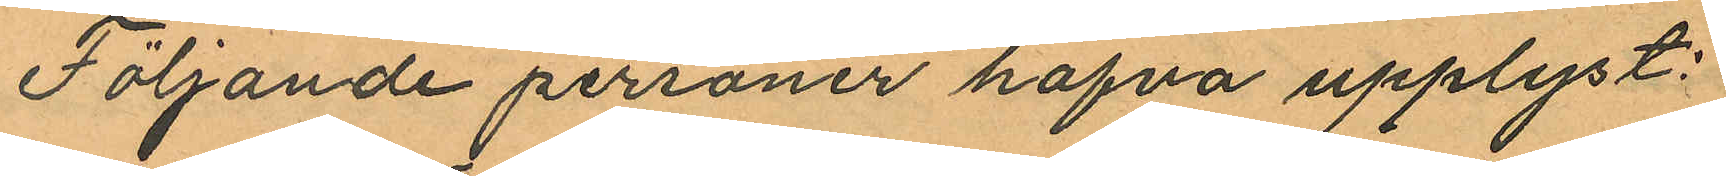Följande personer hafva upplyst:
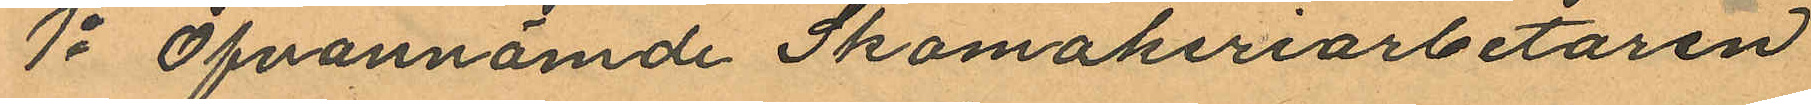1o Ofvannämde Skomakeriarbetaren
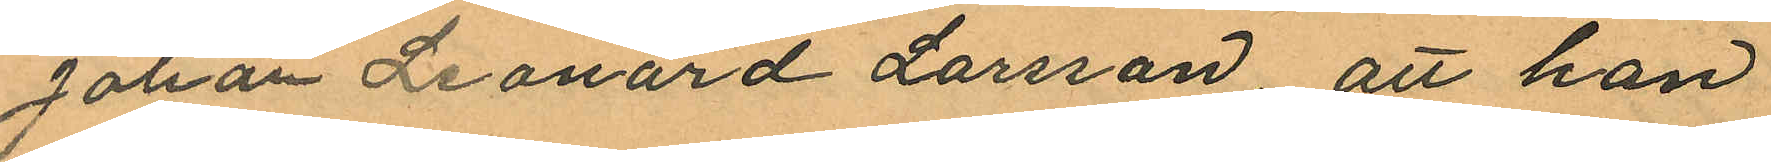Johan Leonard Larsson, att han
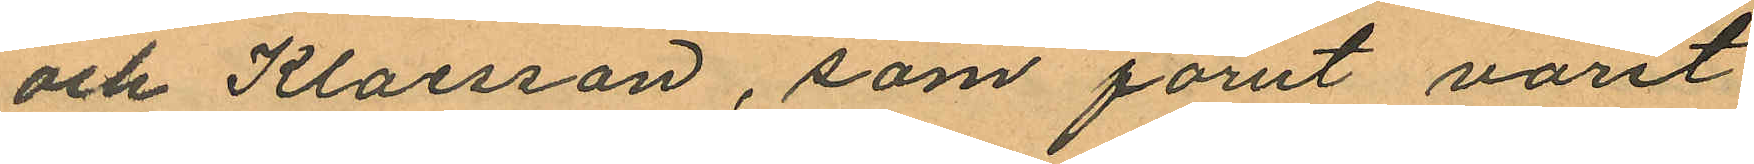och Klaesson, som förut varit
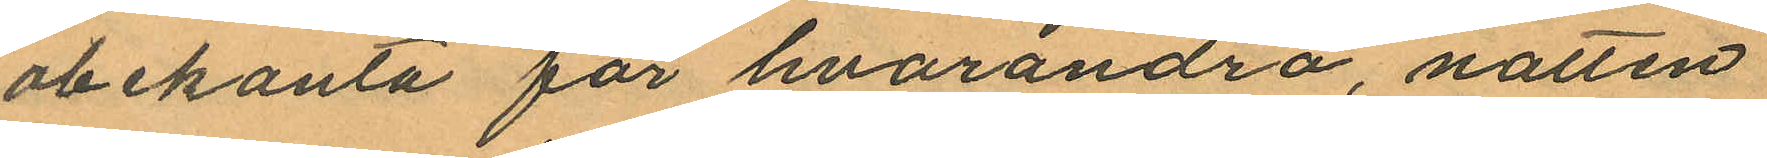obekanta för hvarandra, natten
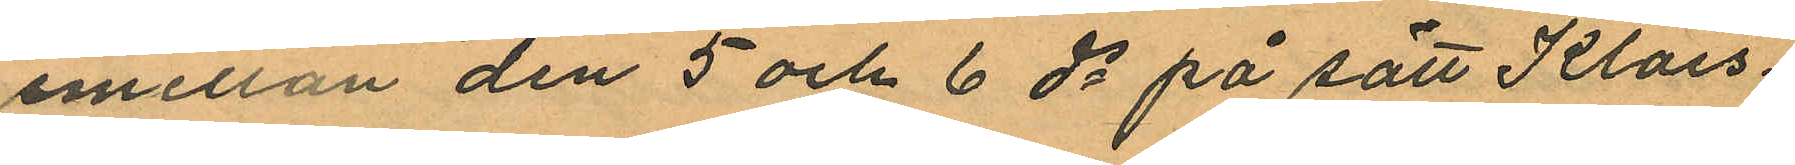emellan den 5 och 6 ds på sätt Klaes¬
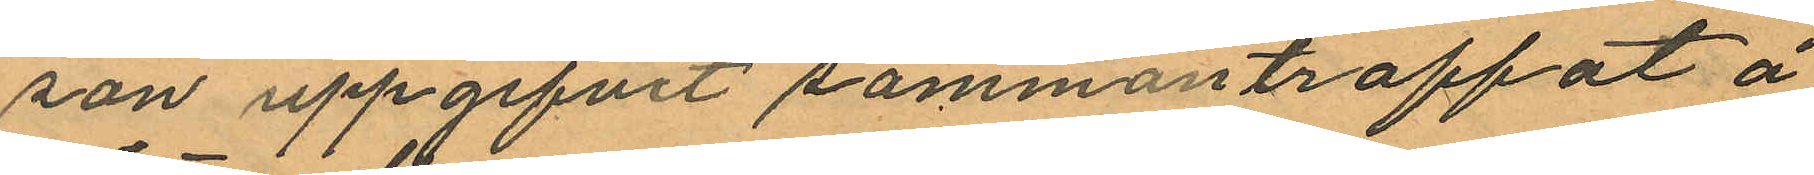son uppgifvit sammantraffat å
